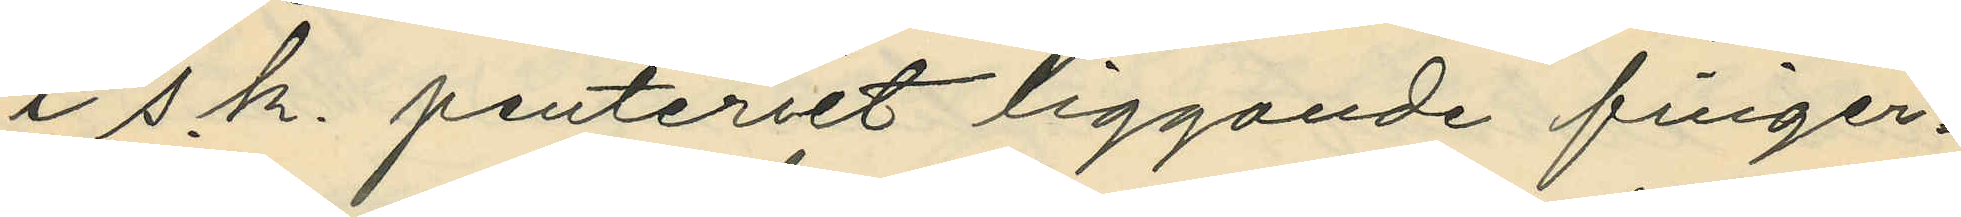i s.k. penteriet liggande finger¬
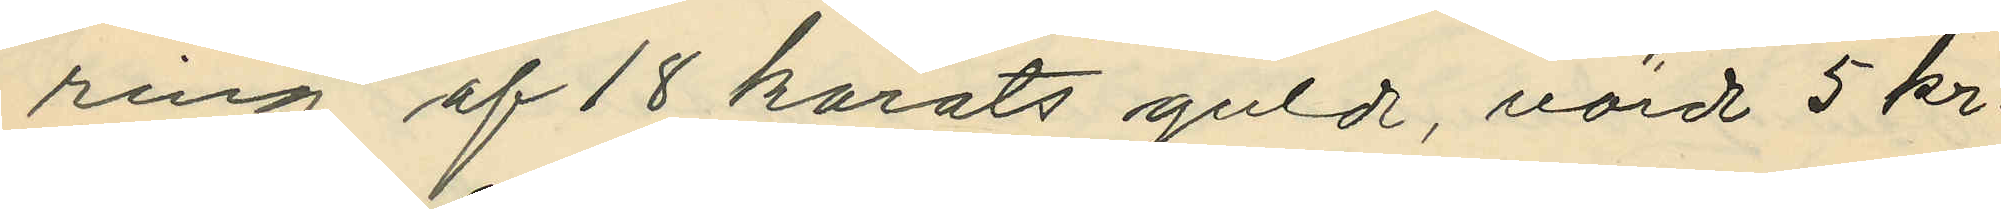ring af 18 karats guld, värd 5 kr.
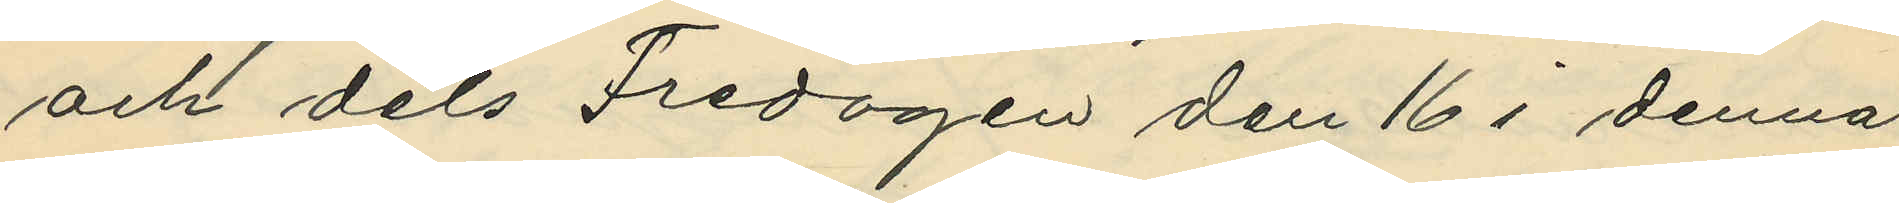och dels Fredagen den 16 i denna
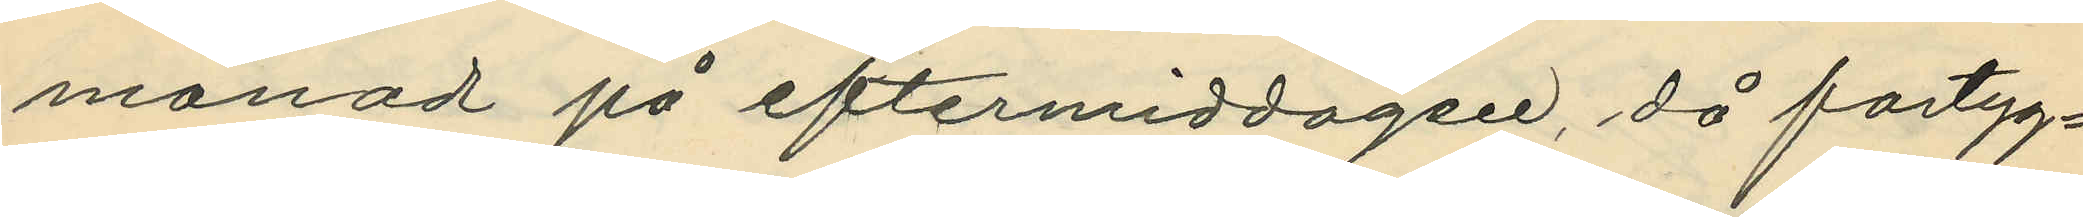månad på eftermiddagen, då fartyg¬
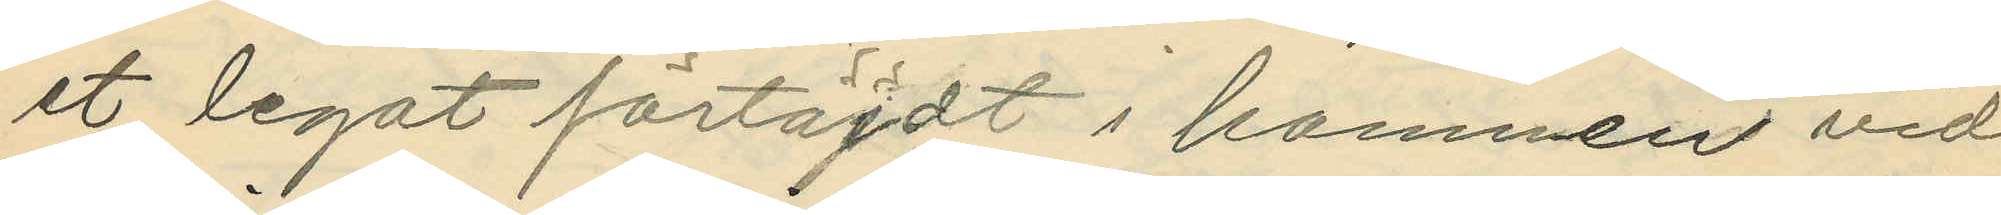et legat förtöjdt i hamnen vid
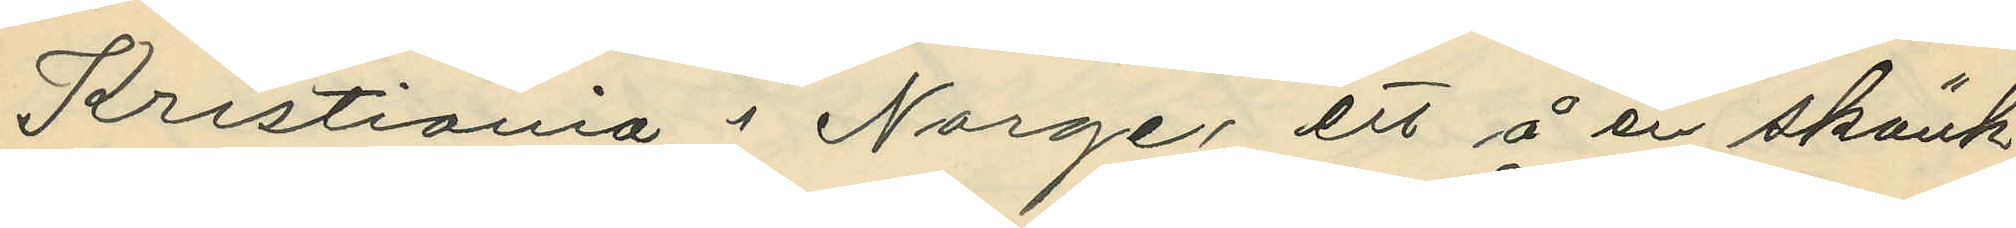Kristiania i Norge, ett å en skänk
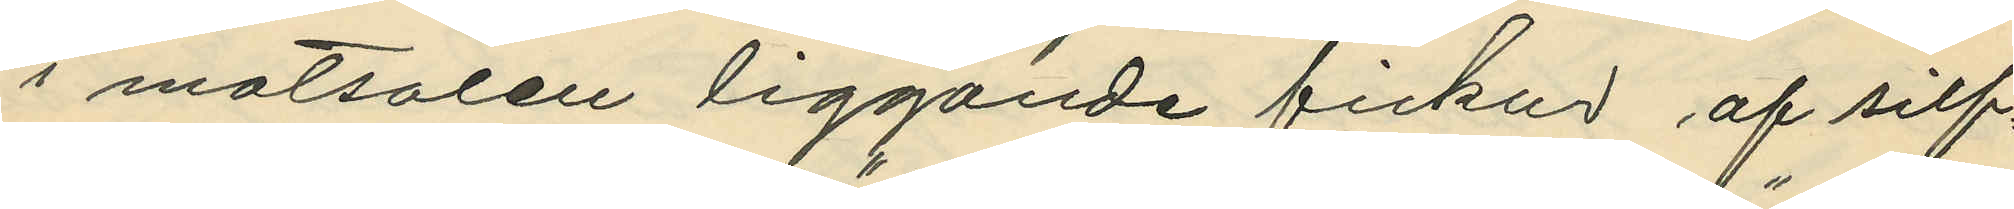i matsalen liggande fickur af silf¬
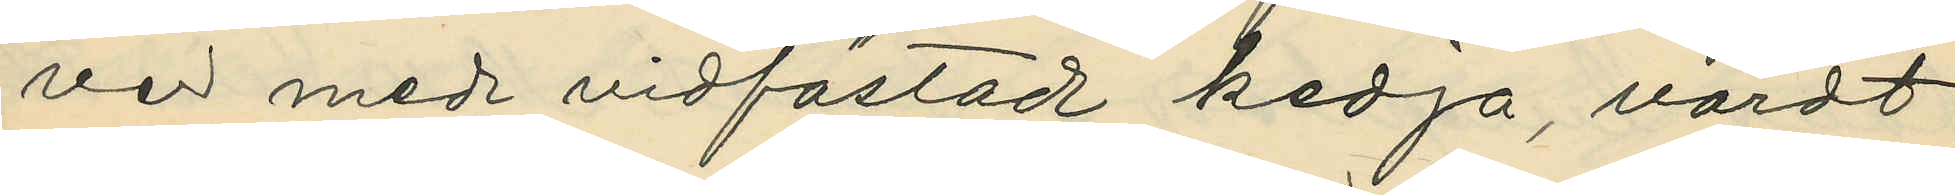ver med vidfästad kedja, värdt
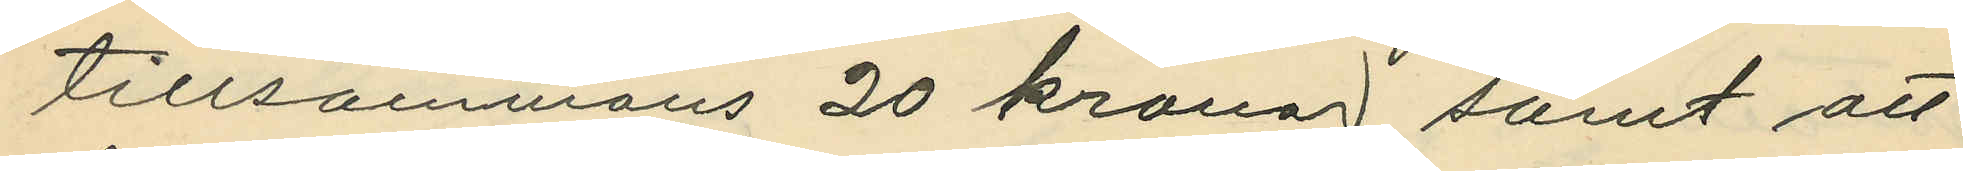tillsammans 20 kronor, samt att
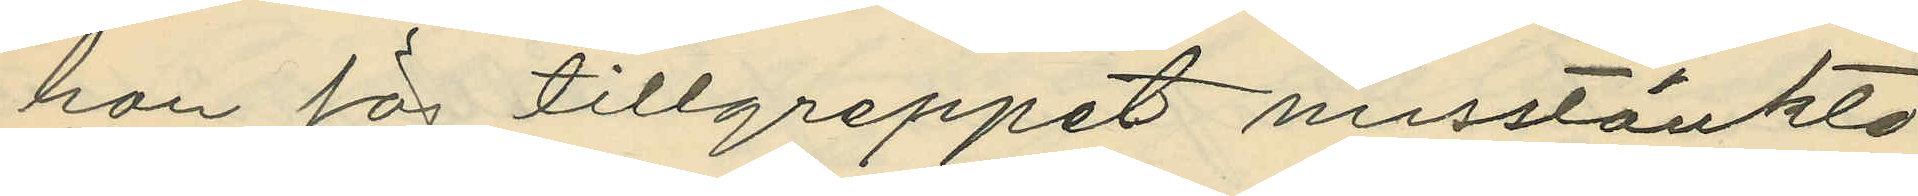hon för tillgreppet misstänkte
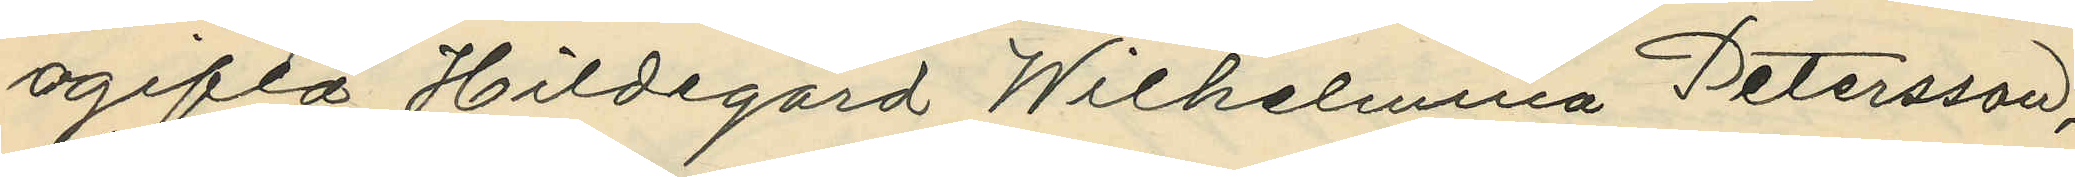ogifta Hildegard Wilhelmina Petersson,
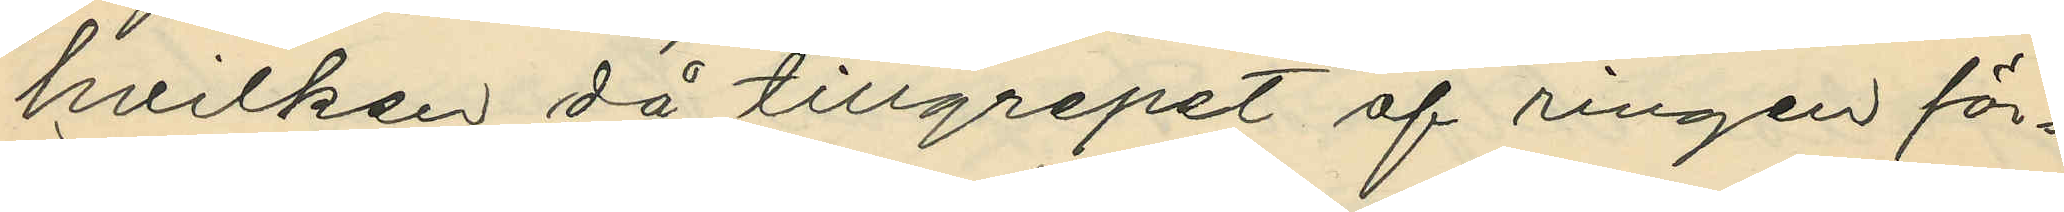hvilken då tillgrepet af ringen för¬
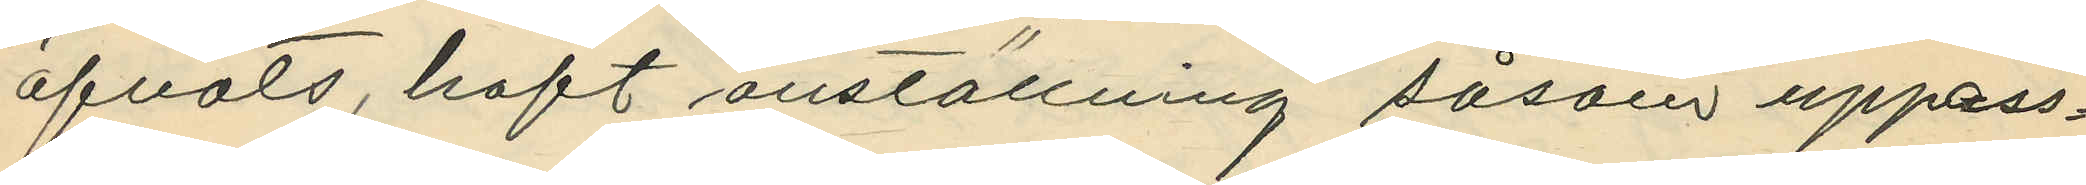öfvats, haft anställning såsom uppass¬
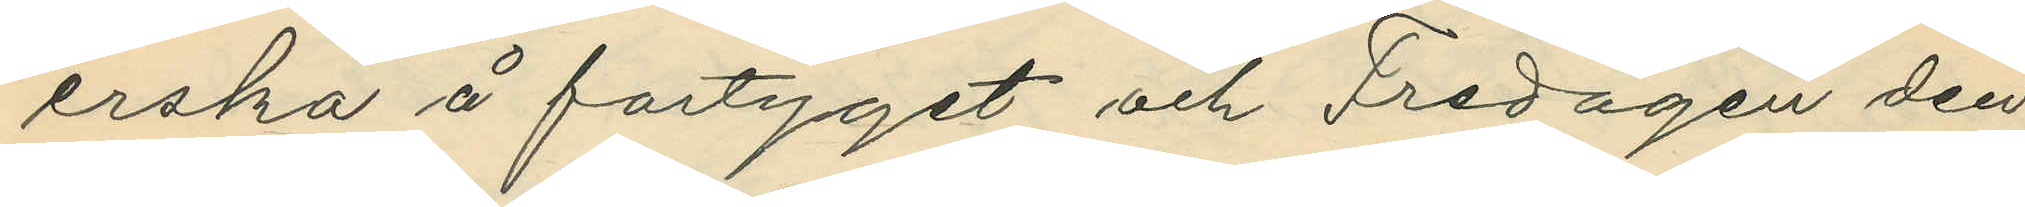erska å fartyget och Fredagen den
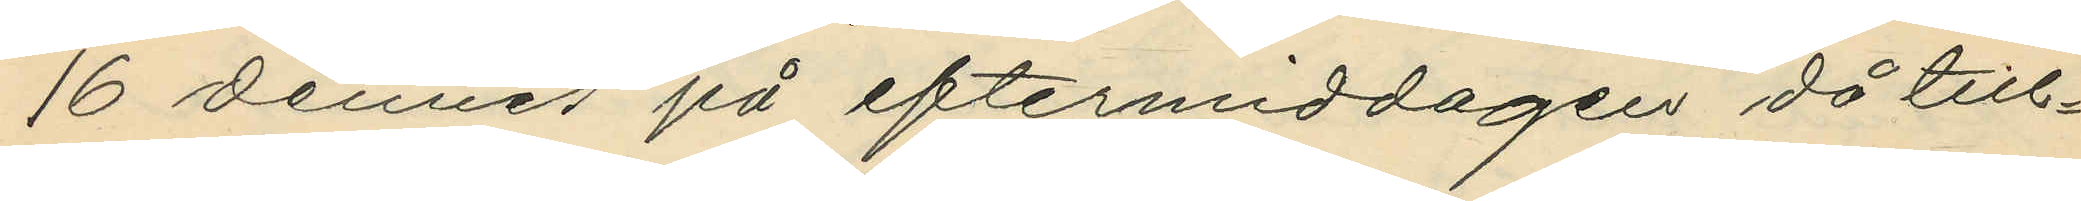16 dennes på eftermiddagen då till¬
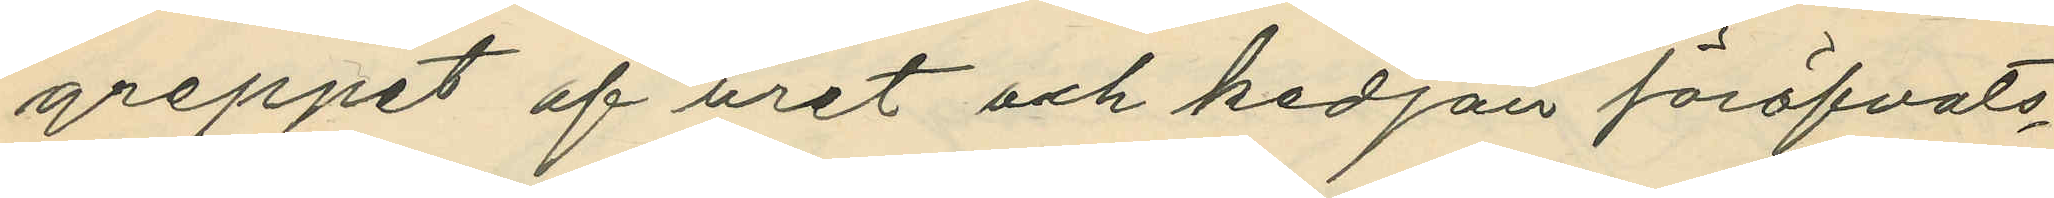greppet af uret och kedjan föröfvats,
